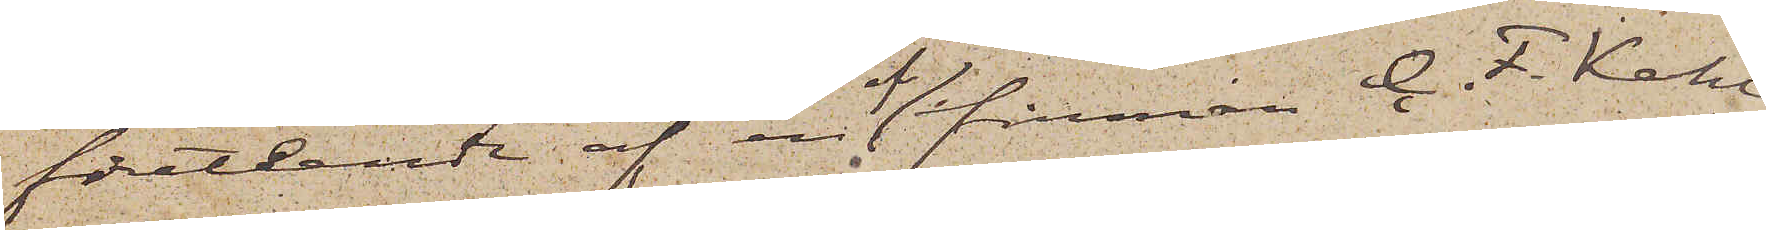företeende af en af firman C. F. Kahl
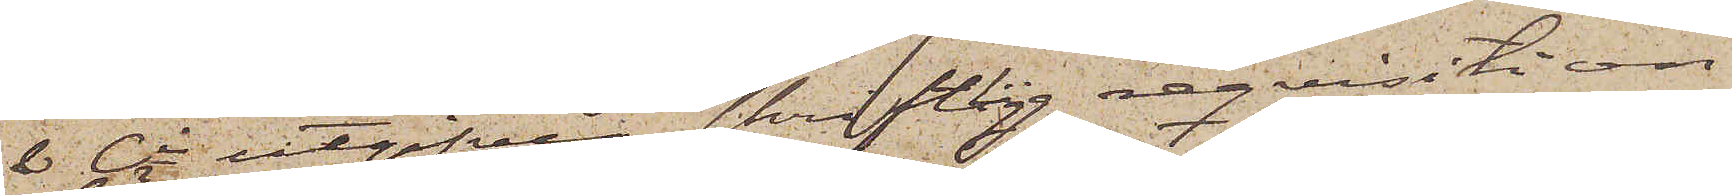& Ci utgifven skriftlig reqvisition
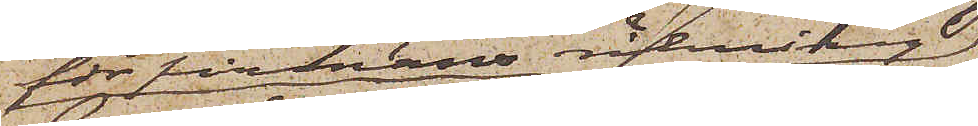för firmans räkning
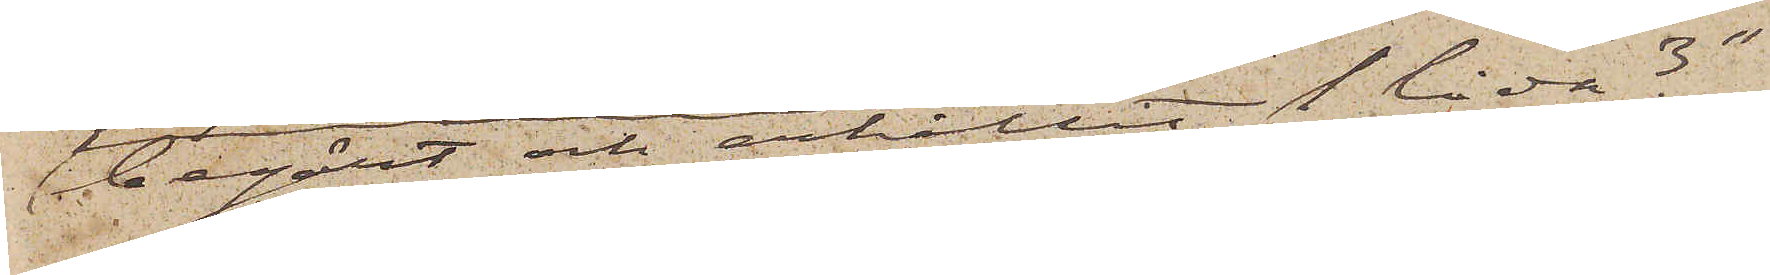begärt och erhållit 1 låda 3"
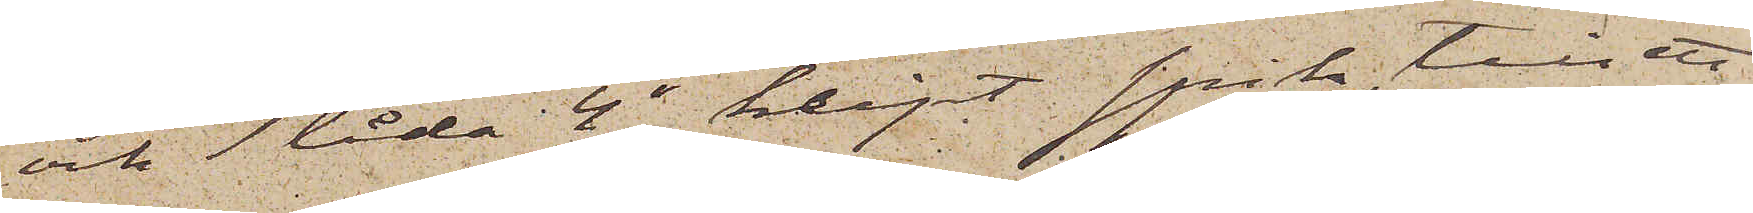och 1 låda 4" klippt spik, till ett
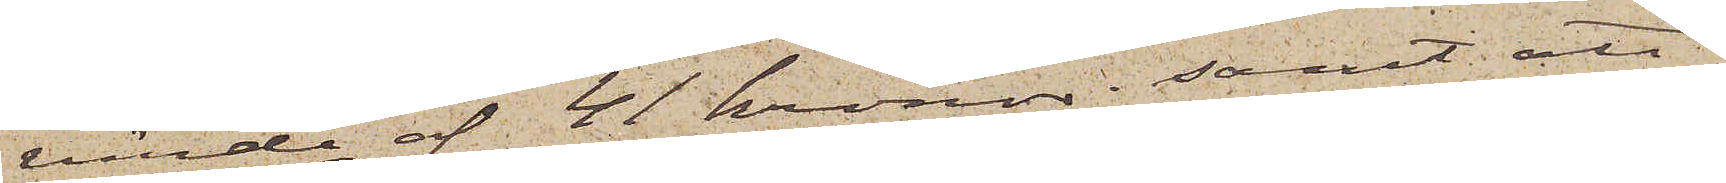värde af 41 kronor; samt att
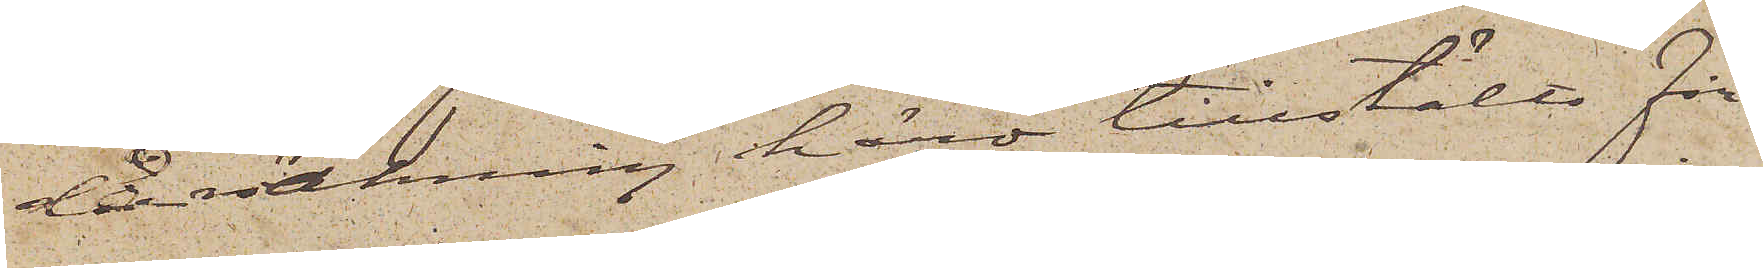 då räkning härå tillstälts Fir¬
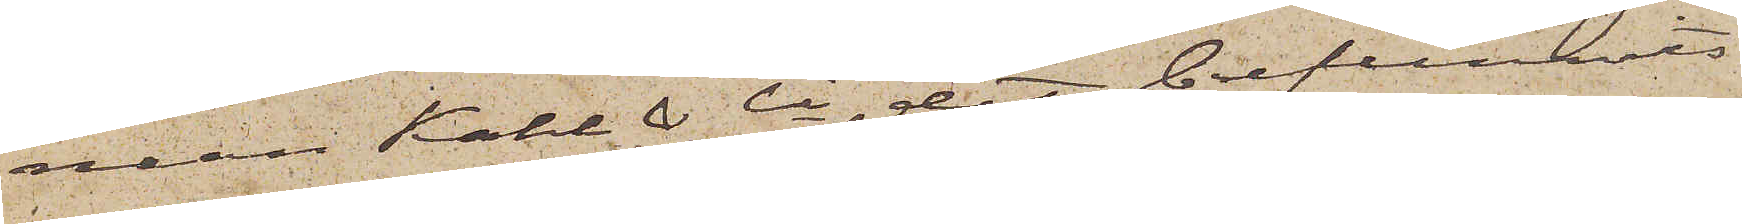man Kahl & Ci, det befunnits
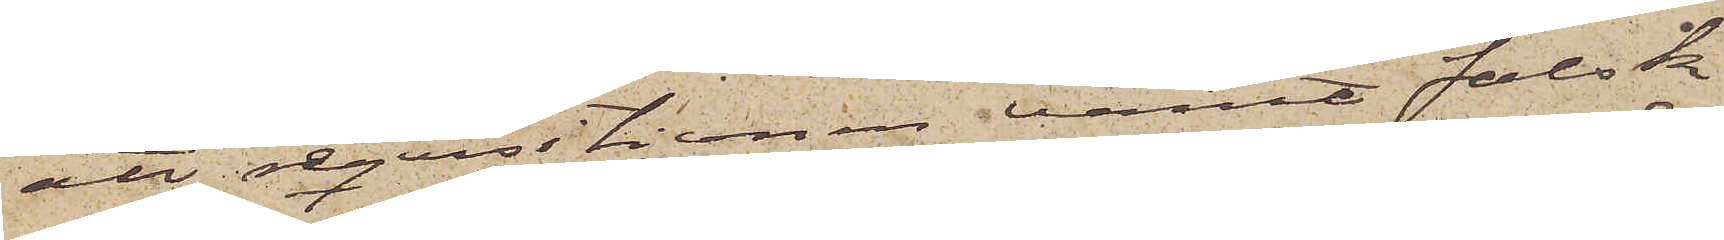att reqvisitionen varit falsk
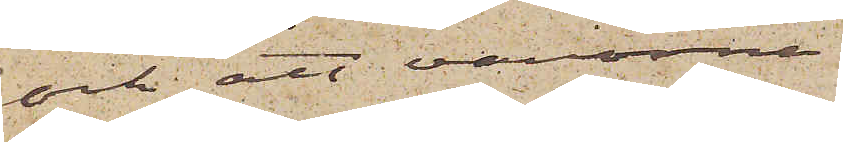och att varorna
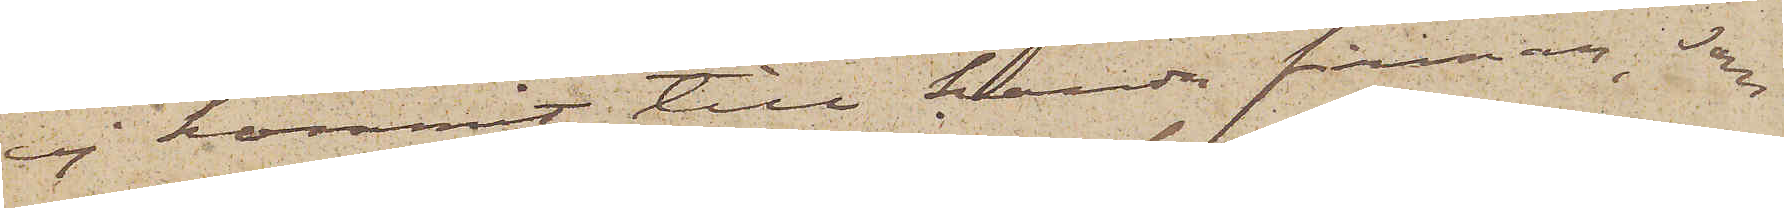ej kommit till handa firman, som
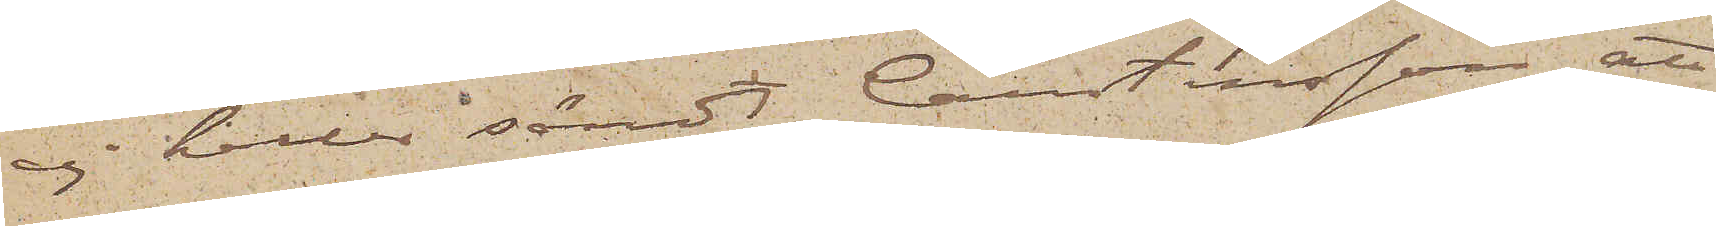ej heller sändt Christensson att
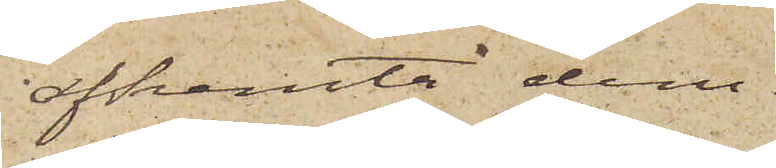afhemta dem.
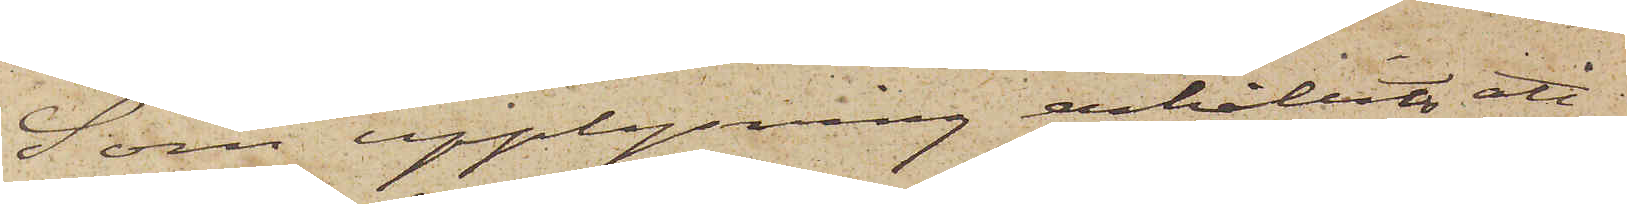Som upplysning erhållits att
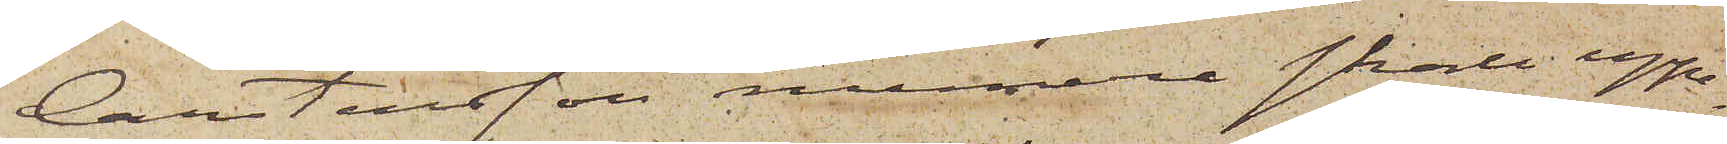Carstensson numera skall uppe¬
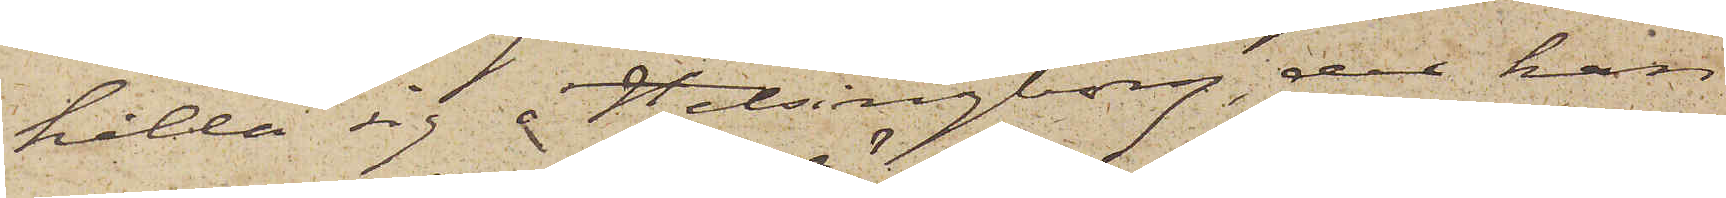hålla sig i Helsingborg, der han
